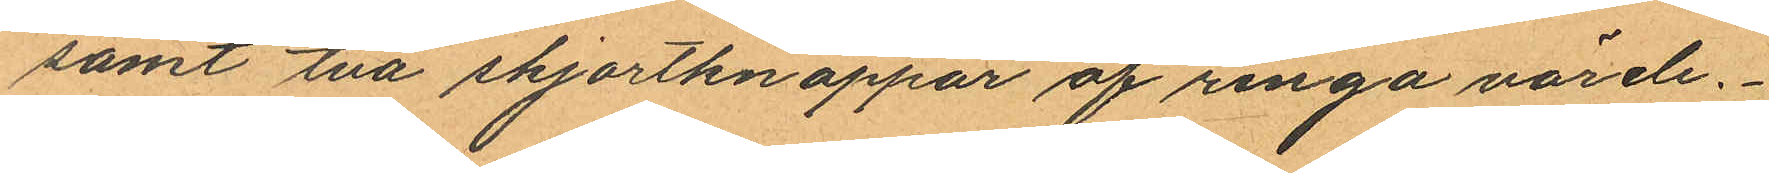samt två skjortknappar af ringa värde.
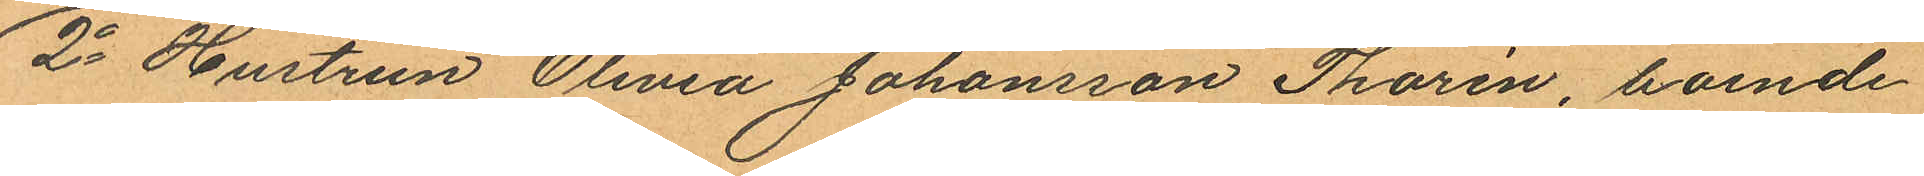2o Hustrun Olivia Johansson Thorén, boende
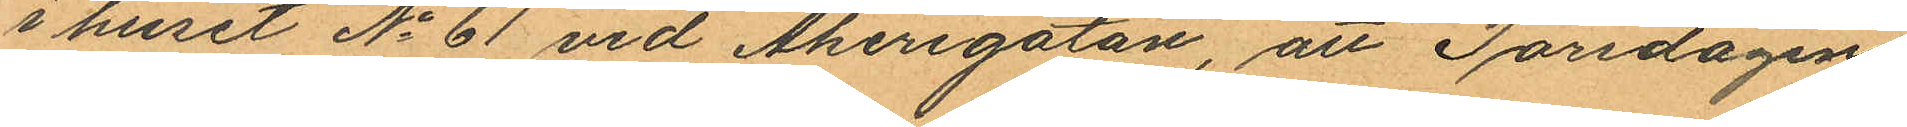i huset No 61 vid Åkerigatan, att Torsdagen
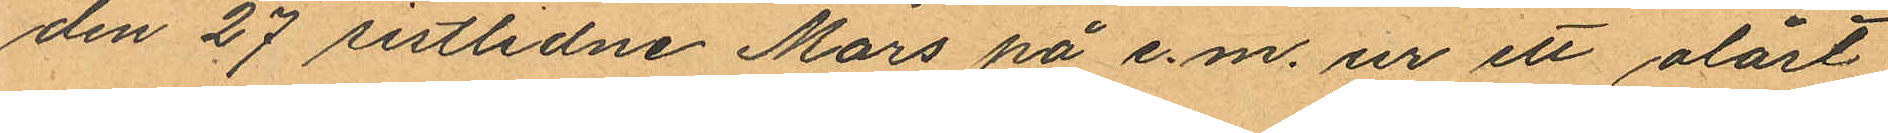den 27 sistlidne Mars på e.m. ur ett olåst
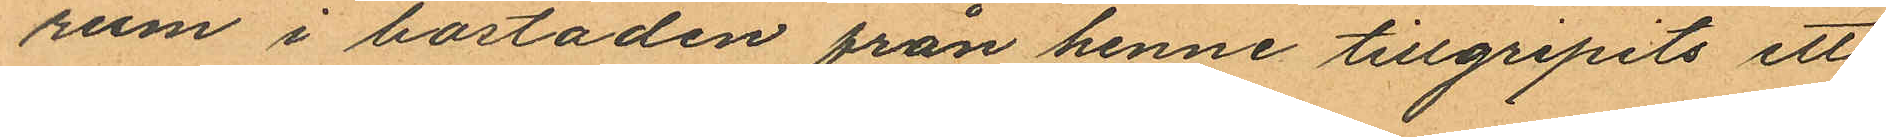rum i bostaden från henne tillgripits ett
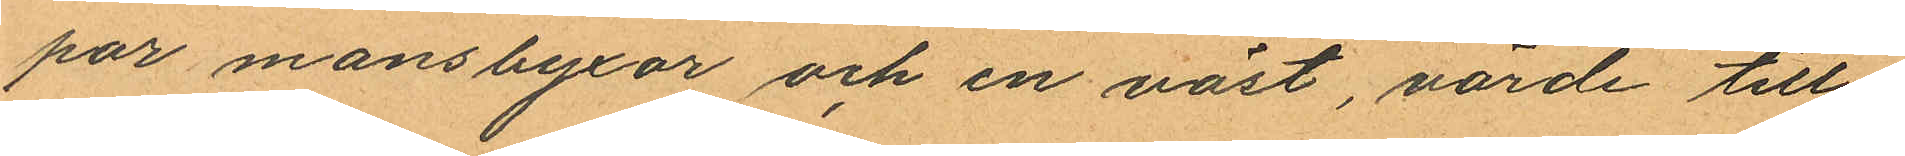par mansbyxor och en väst, värde till¬
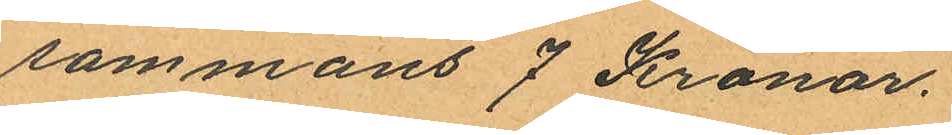sammans 7 Kronor.
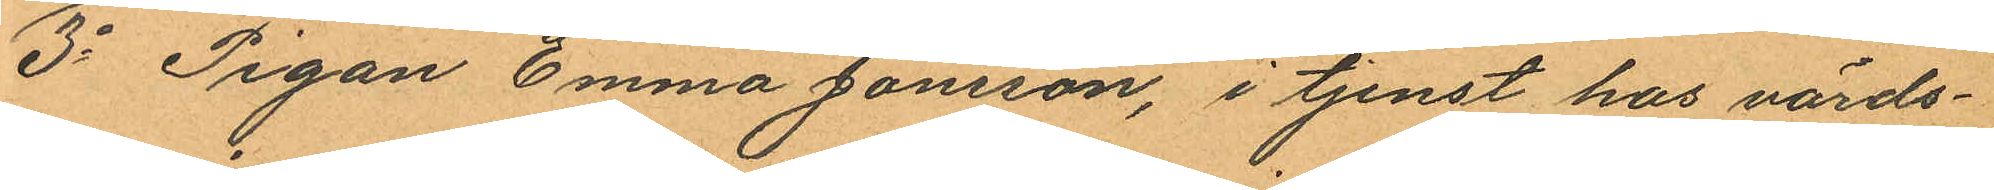3o Pigan Emma Jonsson, i tjenst hos värds¬
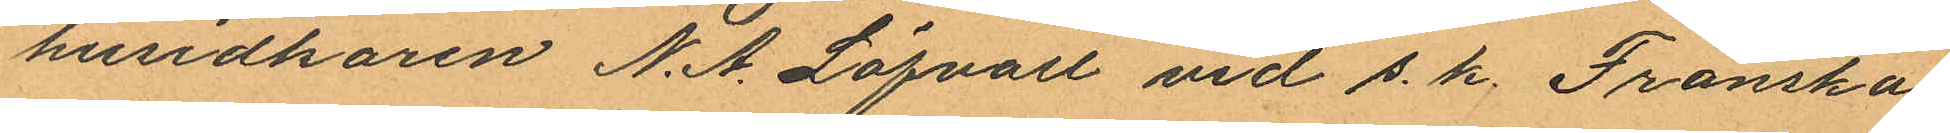husidkaren N. A. Löfvall vid s. k. Franska
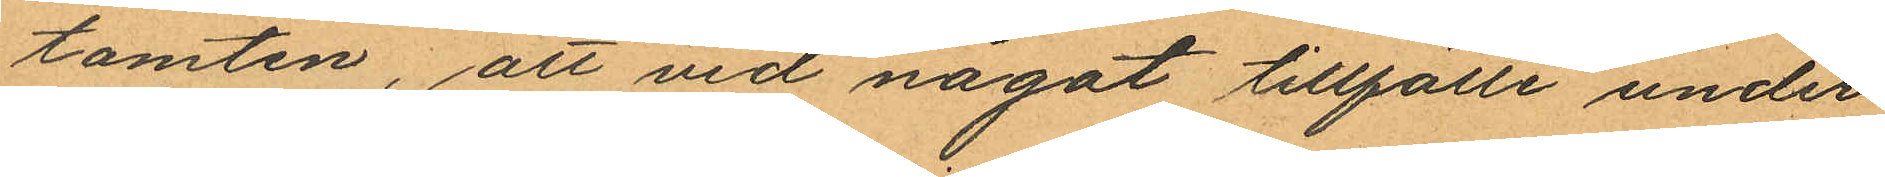tomten, att vid något tillfälle under
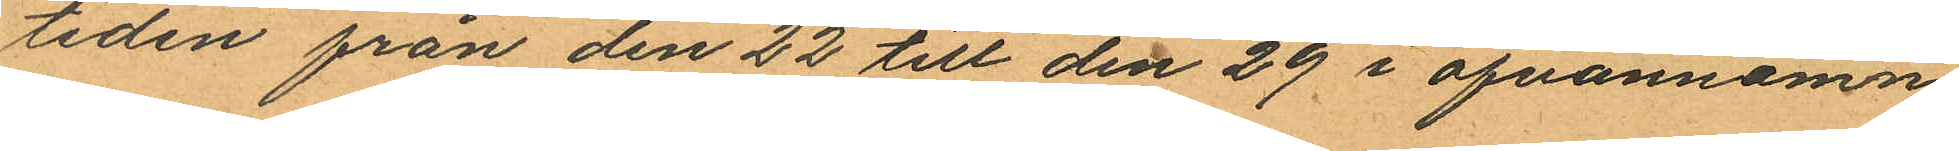tiden från den 22 till den 29 i ofvannämn¬
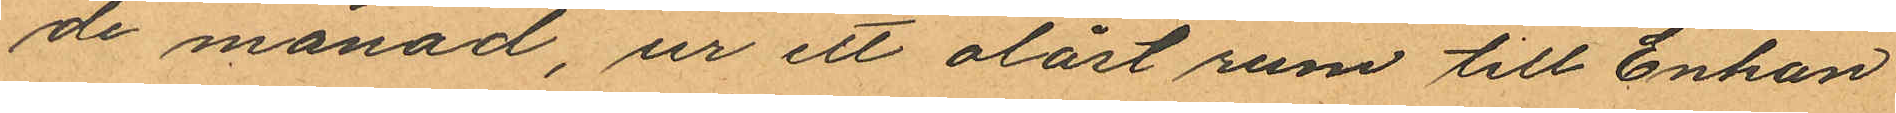de månad, ur ett olåst rum till Enkan
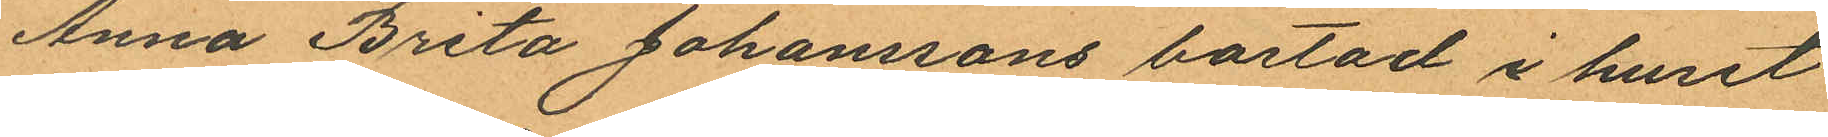Anna Brita Johanssons bostad i huset
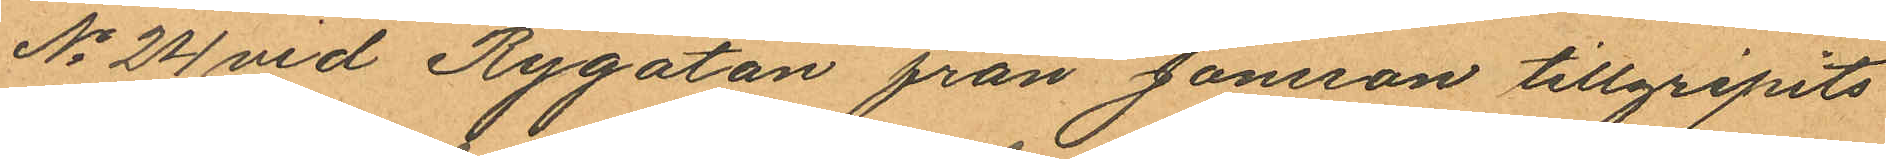No 24 vid Rygatan från Jönsson tillgripits
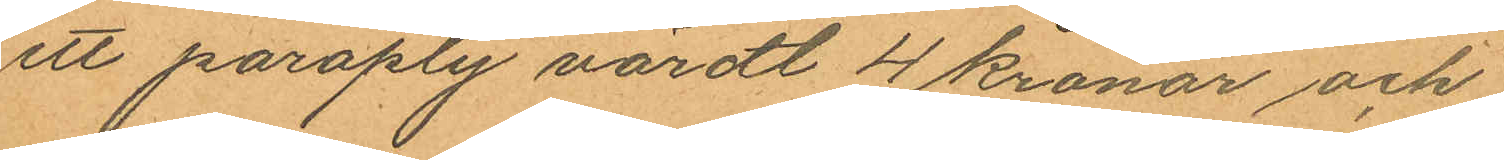ett paraply värdt 4 kronor och
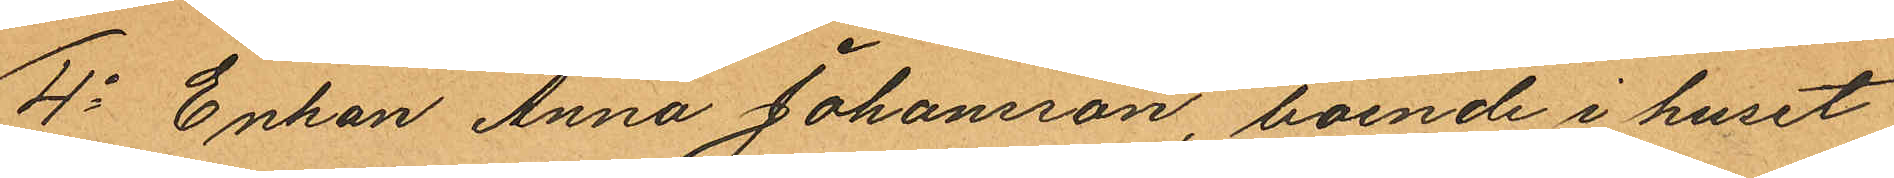4o Enkan Anna Johansson, boende i huset
